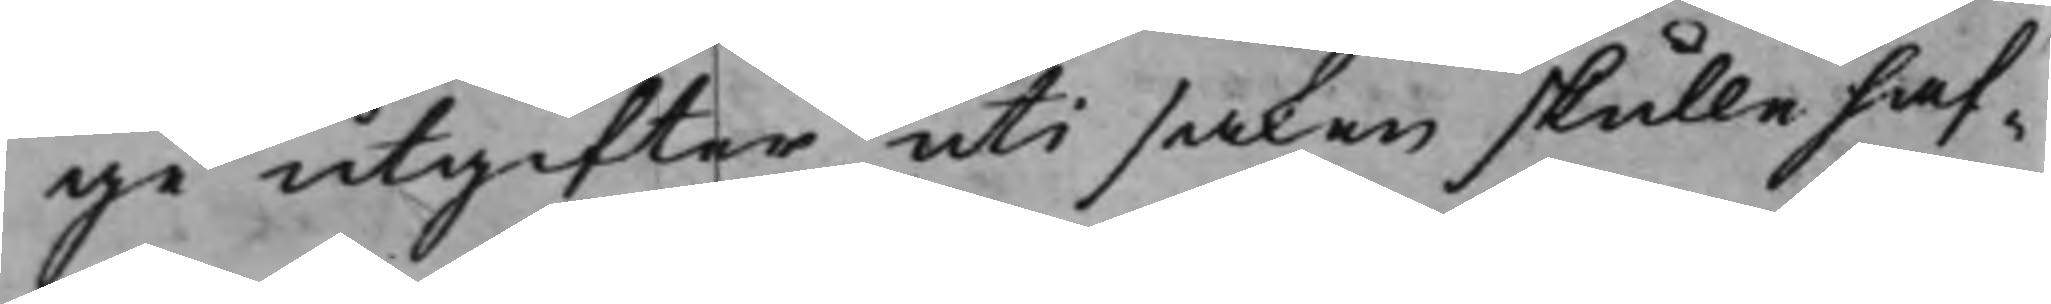ge utgifter uti saken skulle haf¬
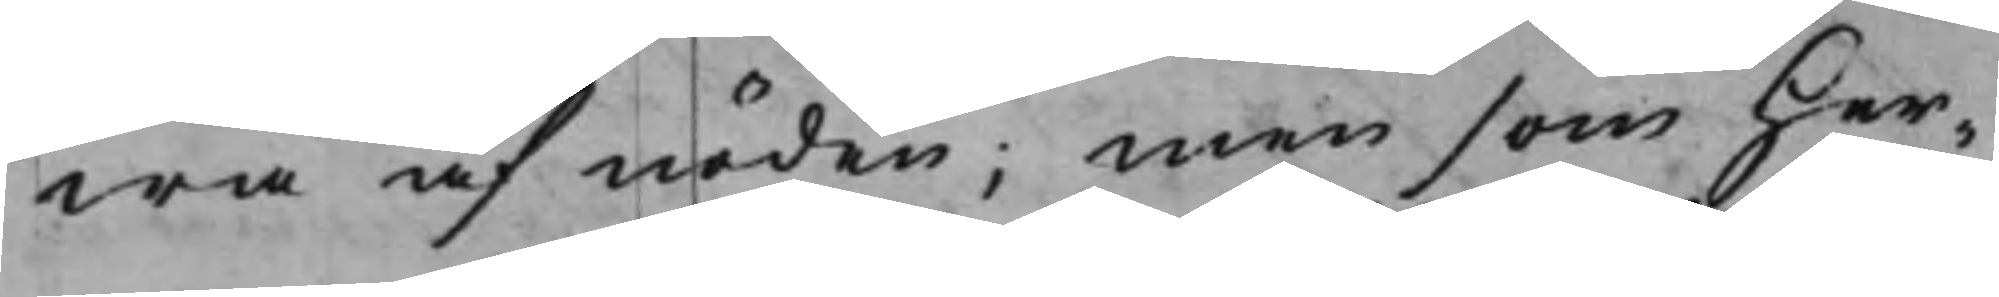wa af nöden; Men som Her¬
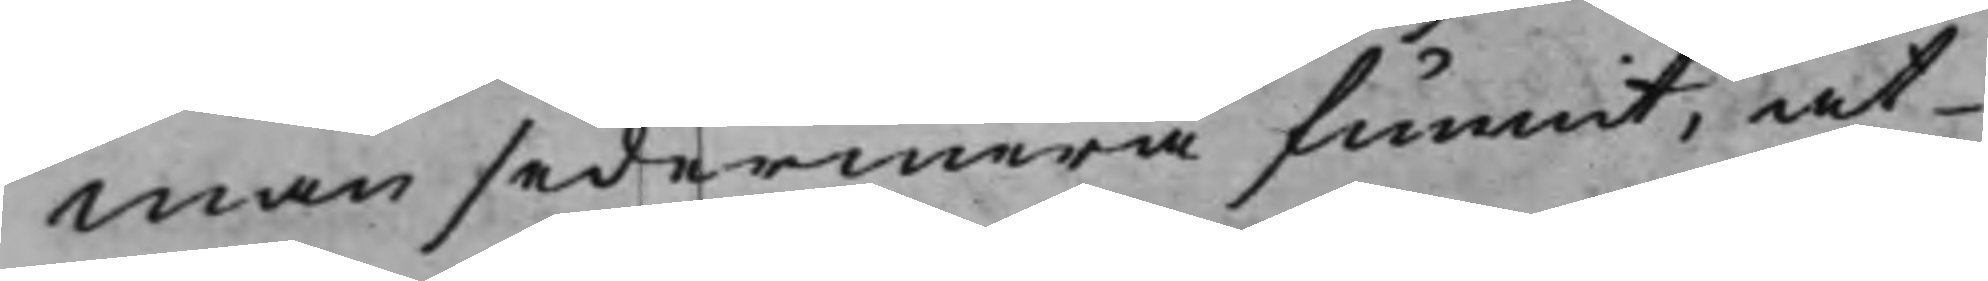man sedermera funnit, at
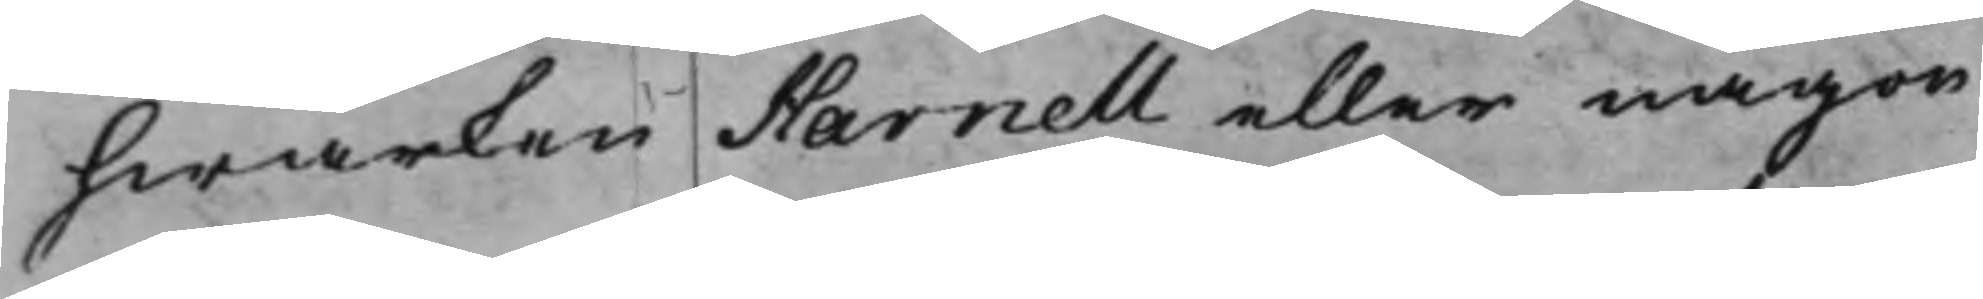hwarken Harnell eller någon
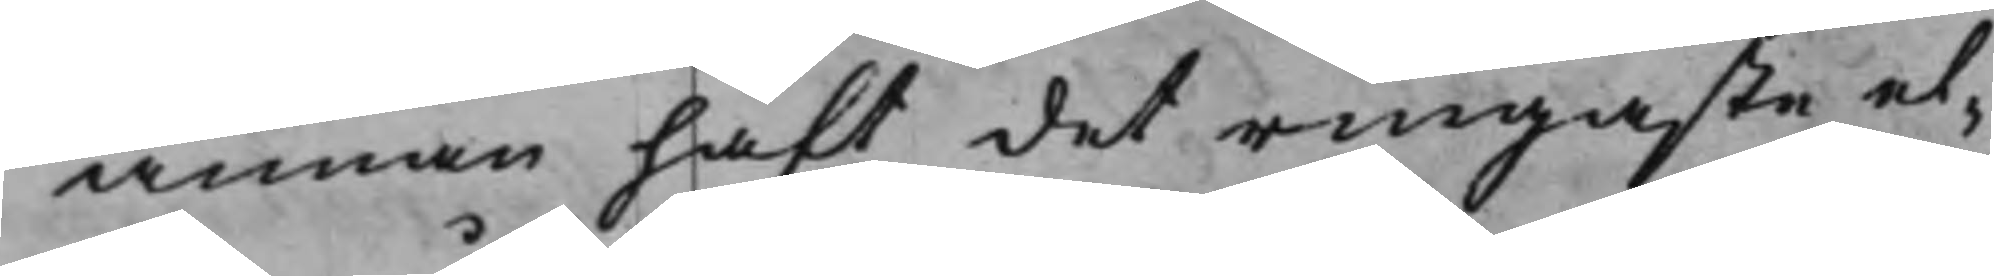annan haft, det ringaste el¬
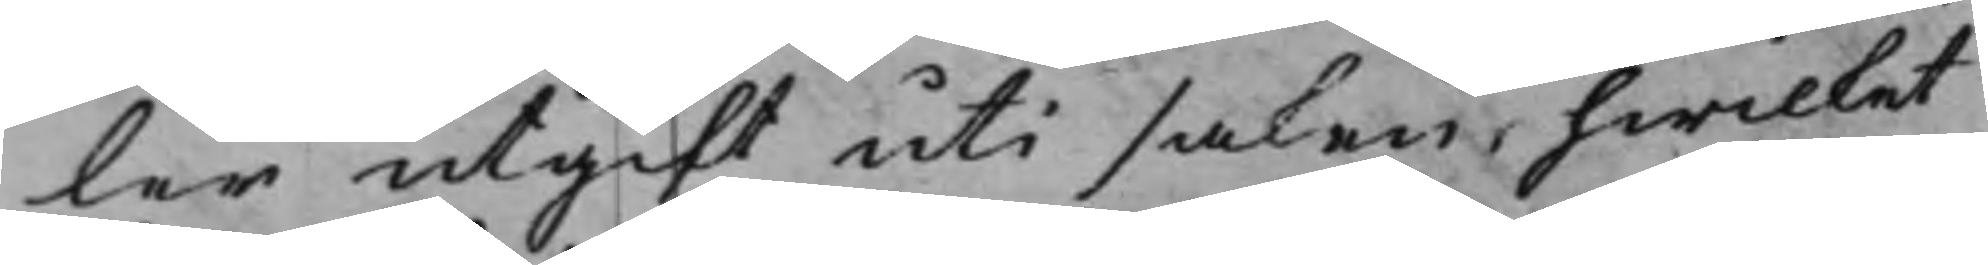ler utgift uti saken, hwilket
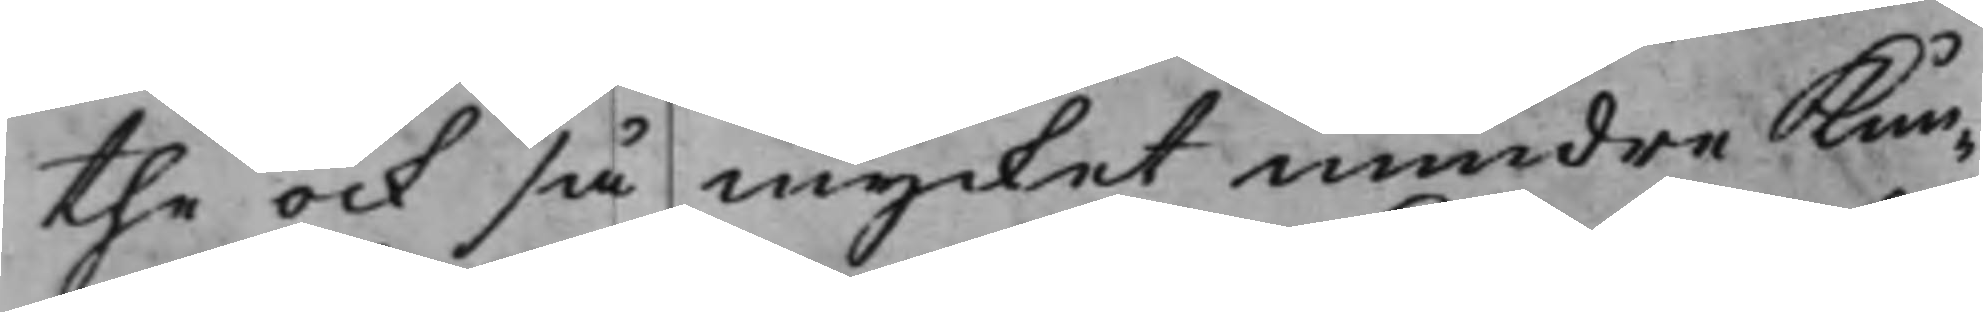the ock så mycket mindre Kun¬
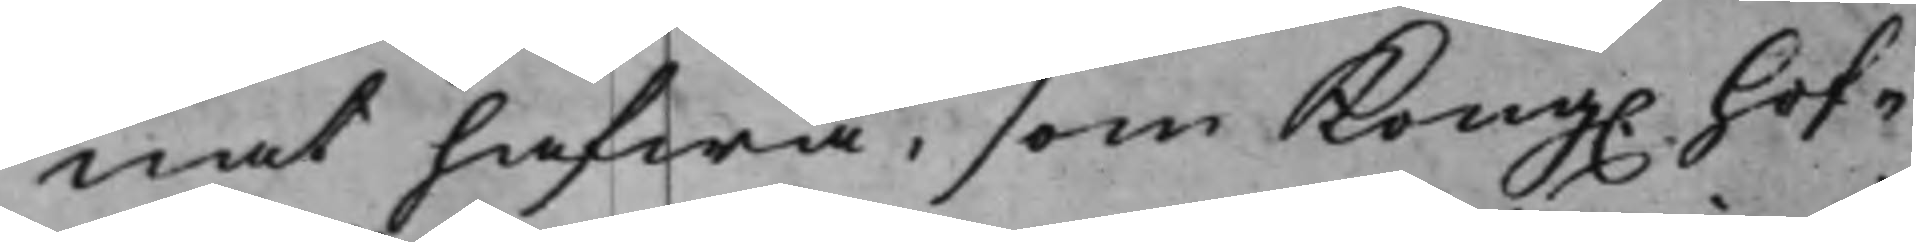nat hafwa, som Kong. Hof¬
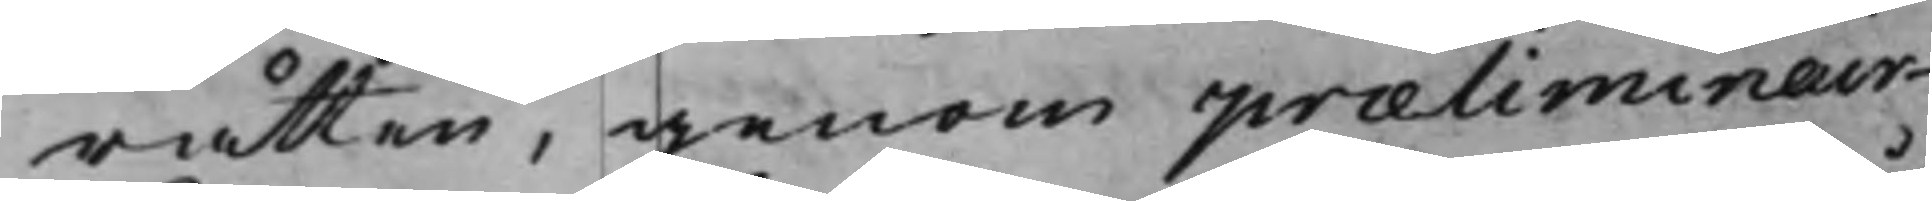rätten, genom præliminair¬
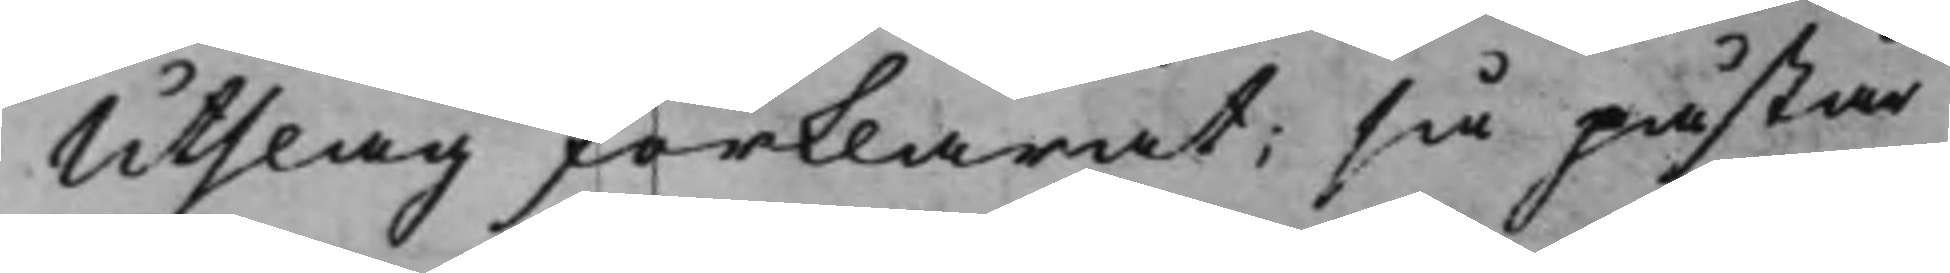Utslag förklarat; så påstår
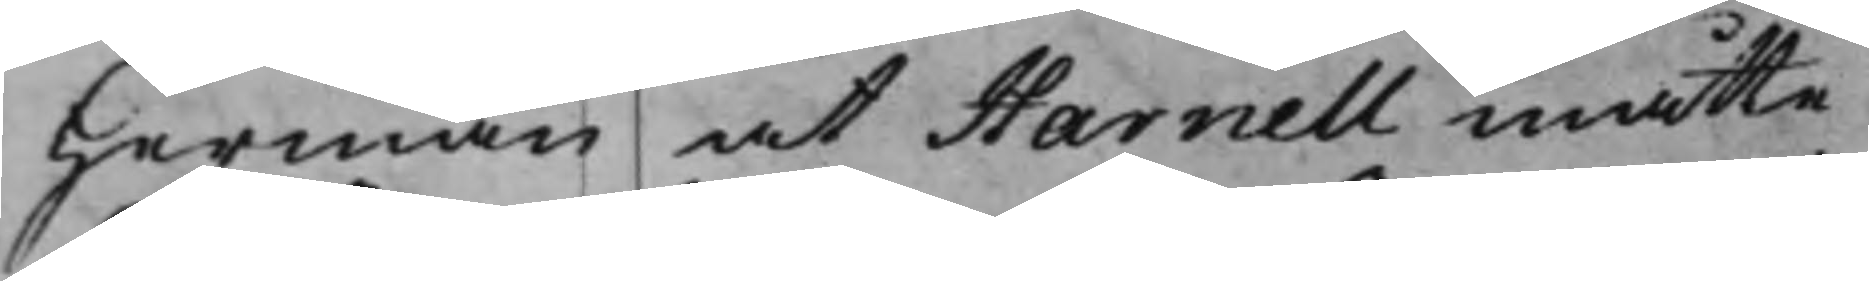Herman at Harnell måtte
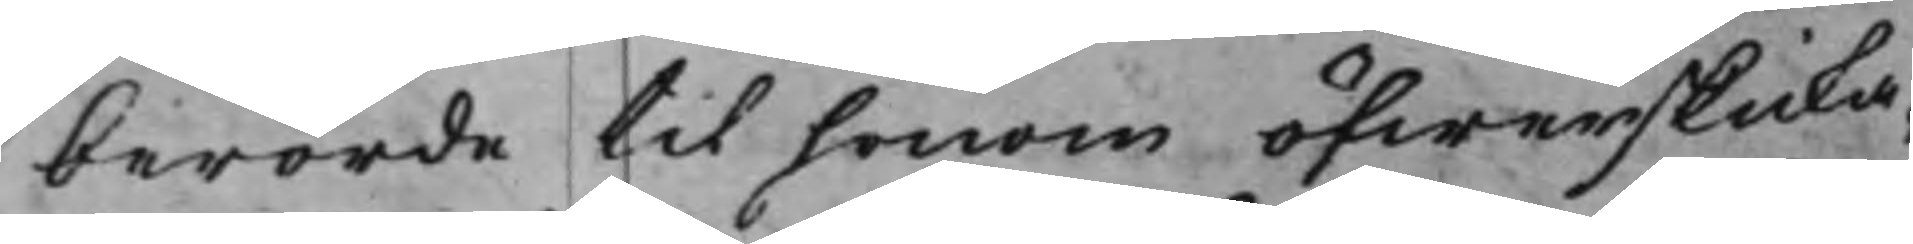berörde til honom öfwerskicka¬
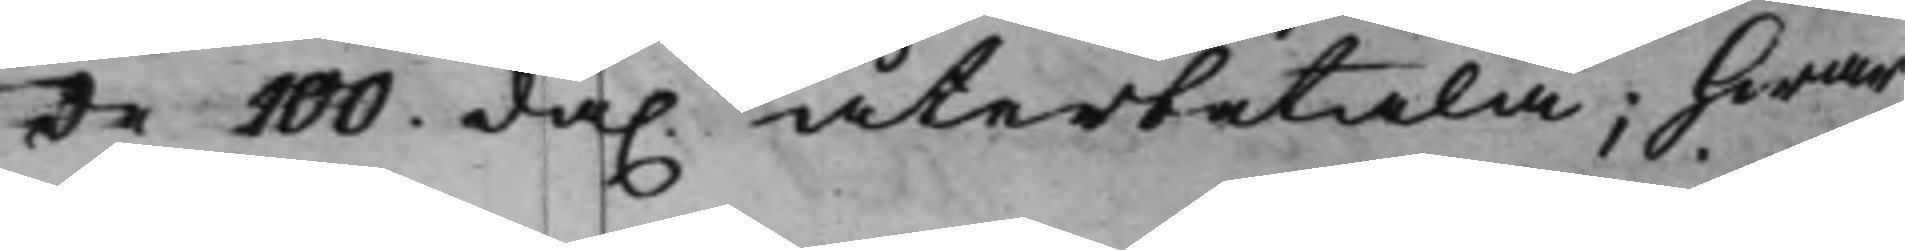de 100. da. återbetala; Hwar¬
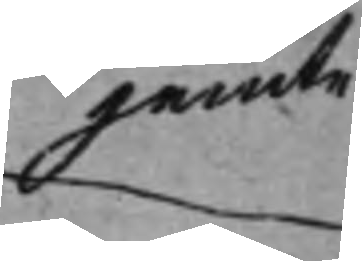jemte
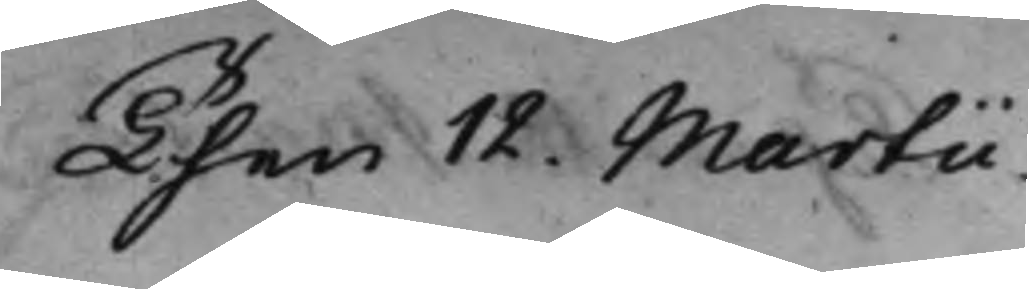Then 12. Martii.
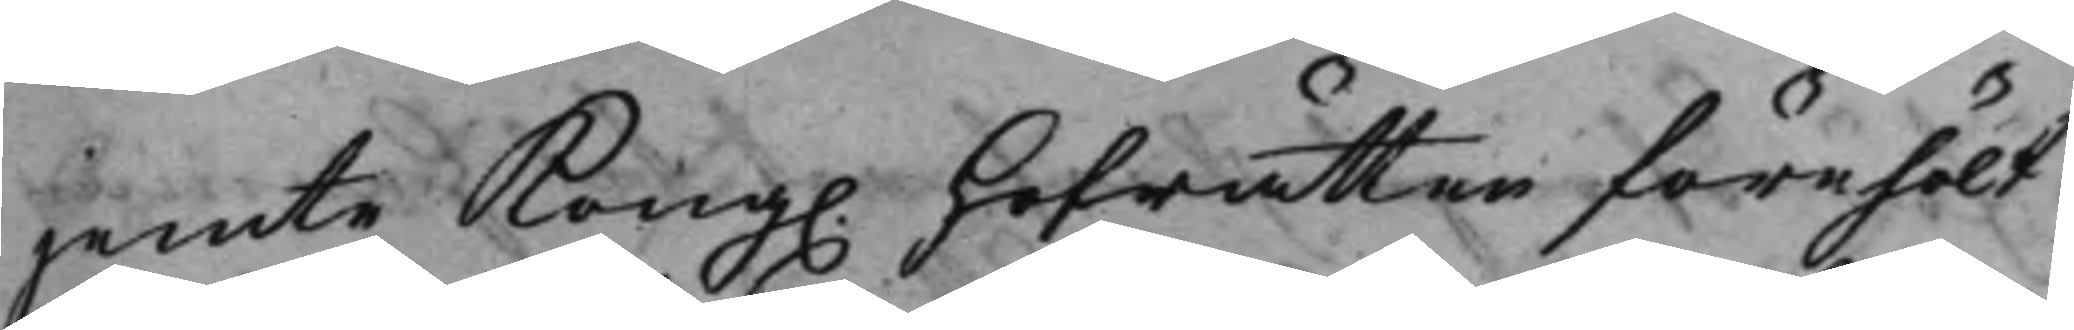jemte Kong. Hofrätten förehölt
